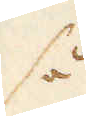så
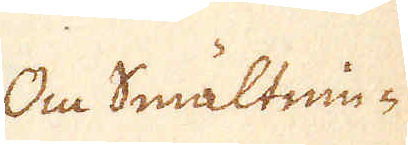Om Smältnin-
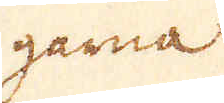garna
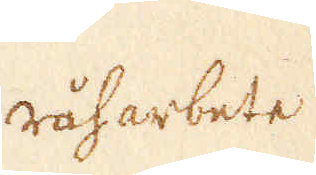råharbete.
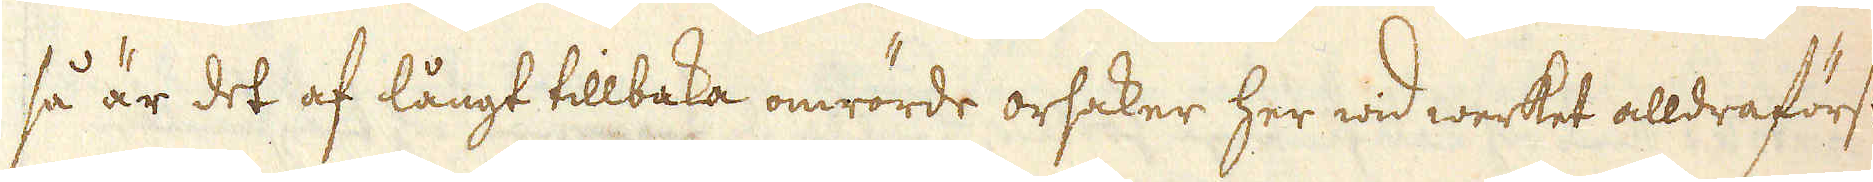så är det af långt tillbaka omrörde orsaker her wid werket alldraförst
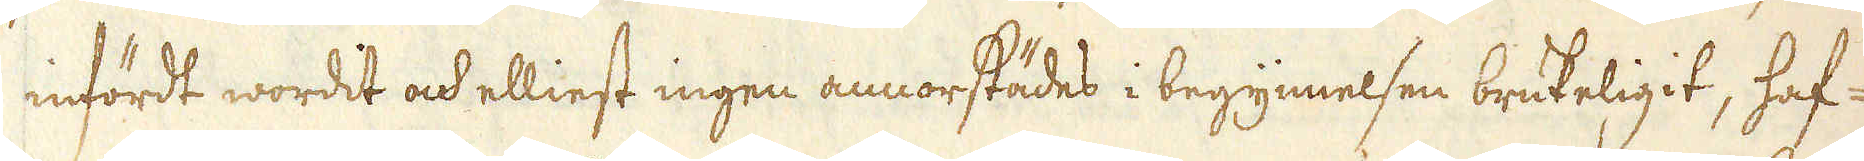infördt wordit ock elliest ingen annorstädes i begynnelsen brukeligit, haf-
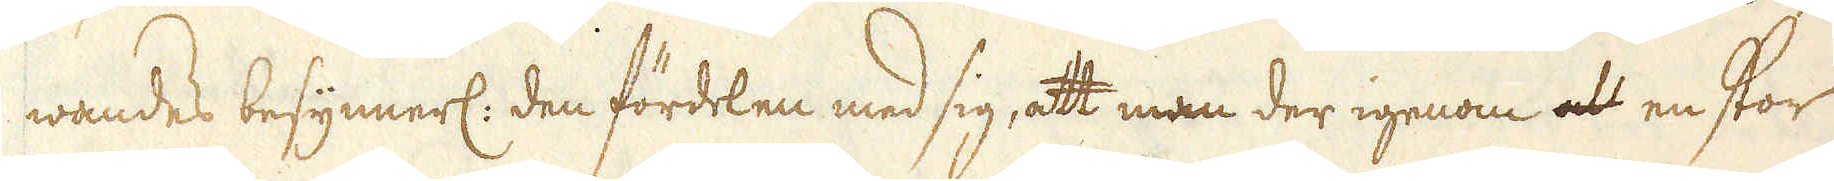wandes besynnerl: den fördelen med sig, att man der igenom att en stor
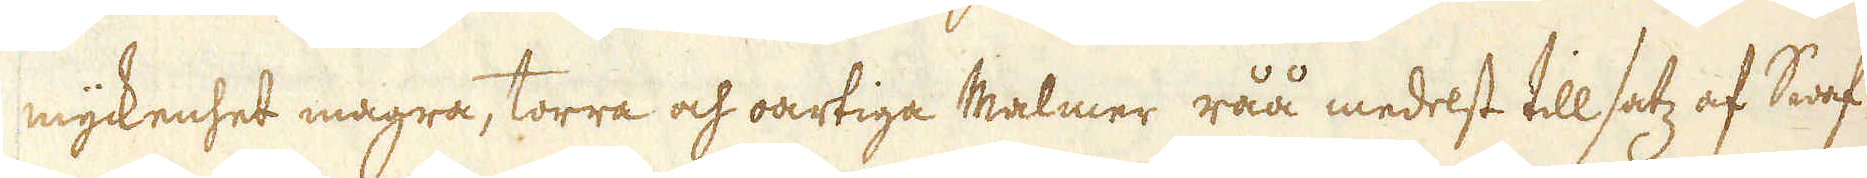myckenhet magra, torra och oartiga Malmer råå medelst till satz af Swaf-
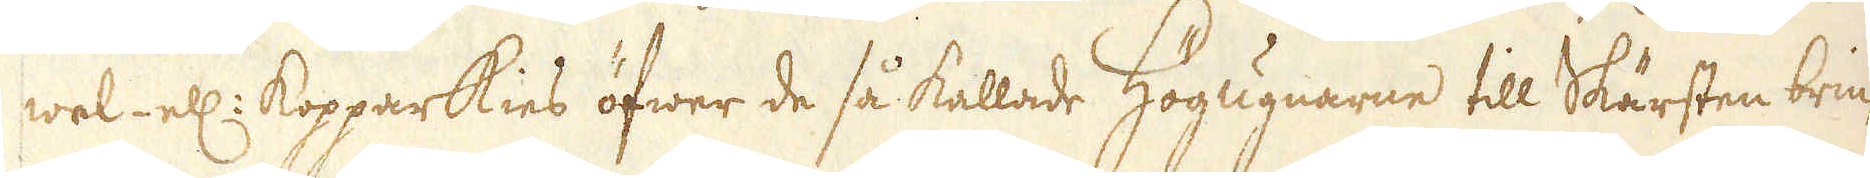wel- ell: kopparkies öfwer de så kallade Högugnarne till Skärsten brin-
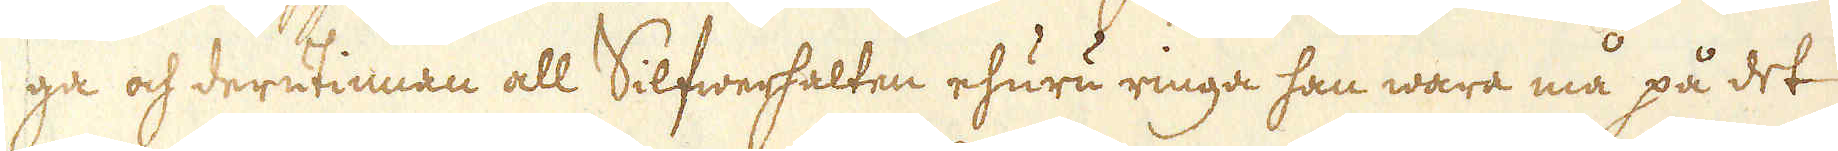ga och derutinnan all Silfwerhalten ehuru ringa han wara må på det
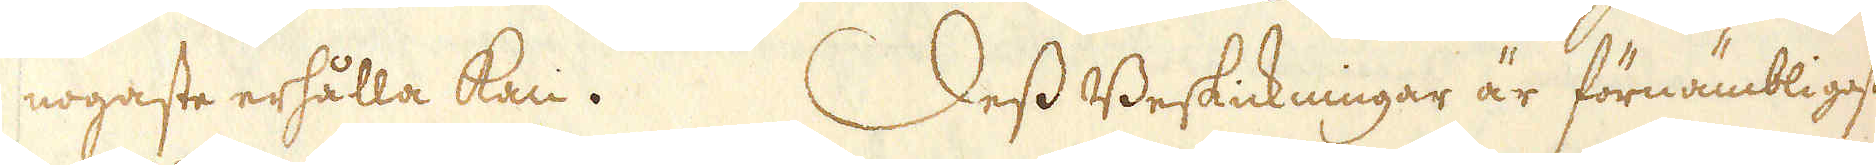nogaste erhålla kan. Dess Beskickningar är förnämbligast
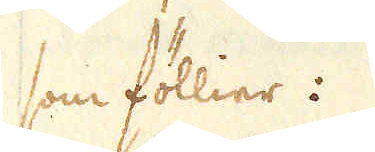som föllier:
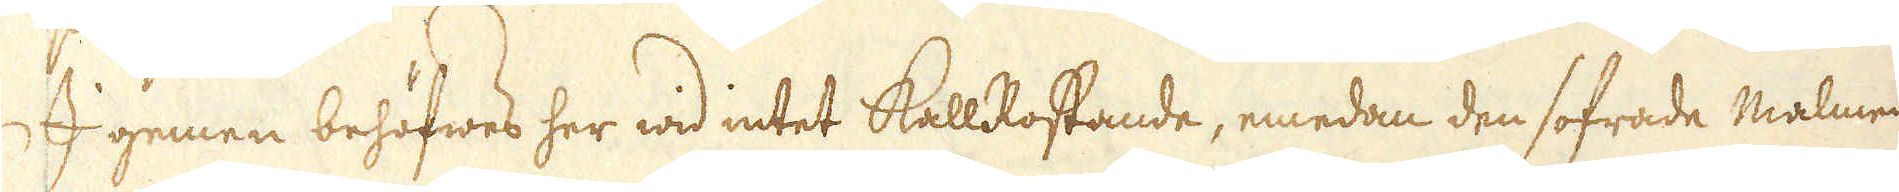I gemen behöfwes her wid intet kallRostande, emedan den sofrade malmen
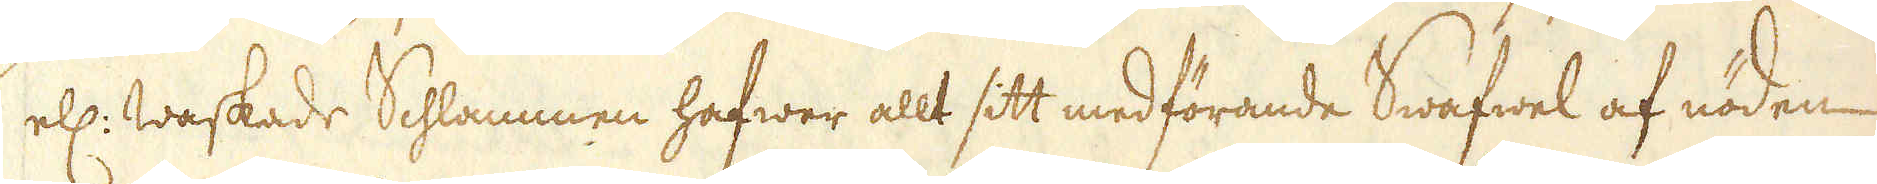ell: waskade Schlammen hafwer allt sitt medförande Swafwel af nöden
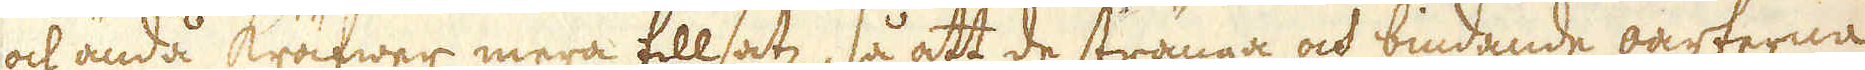och ändå kräfwer mera tillsatz, så att de stränga och bindande oarterna
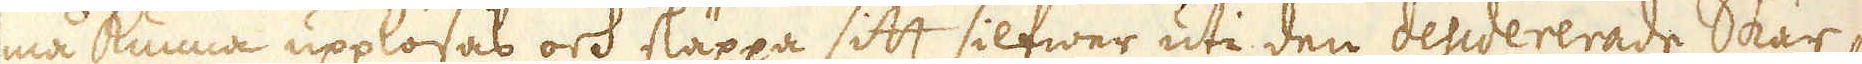må kunna upplösas och släppa sitt silfwer uti den desidererade Skär-
